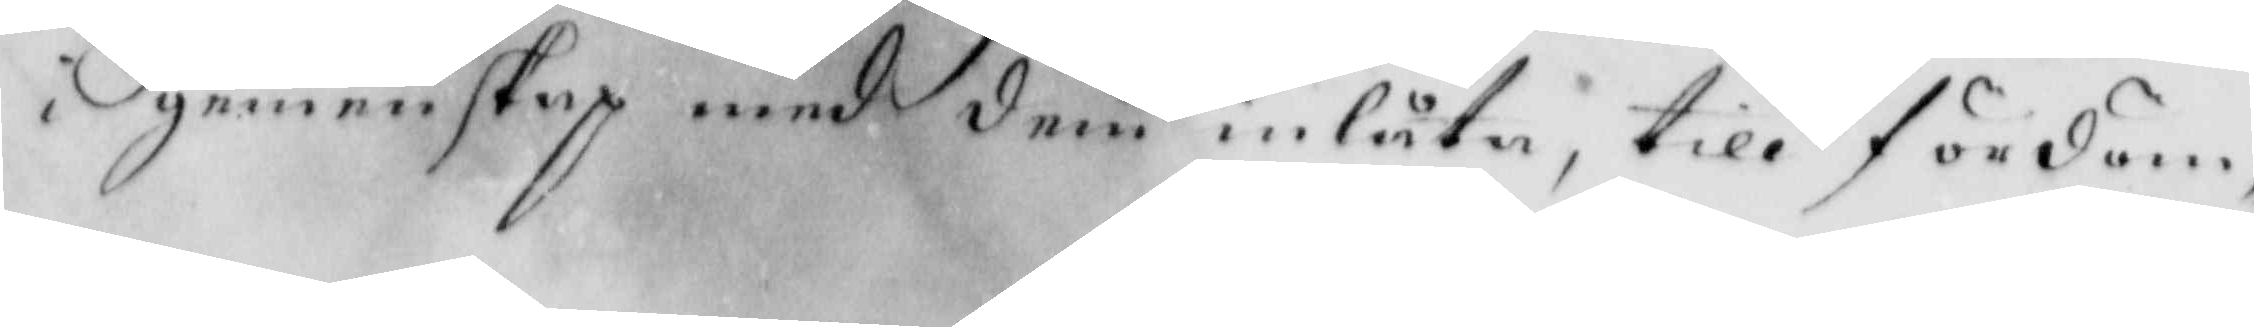gemenskap med dem inlåta, till fördöm
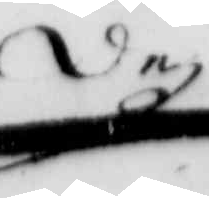dez
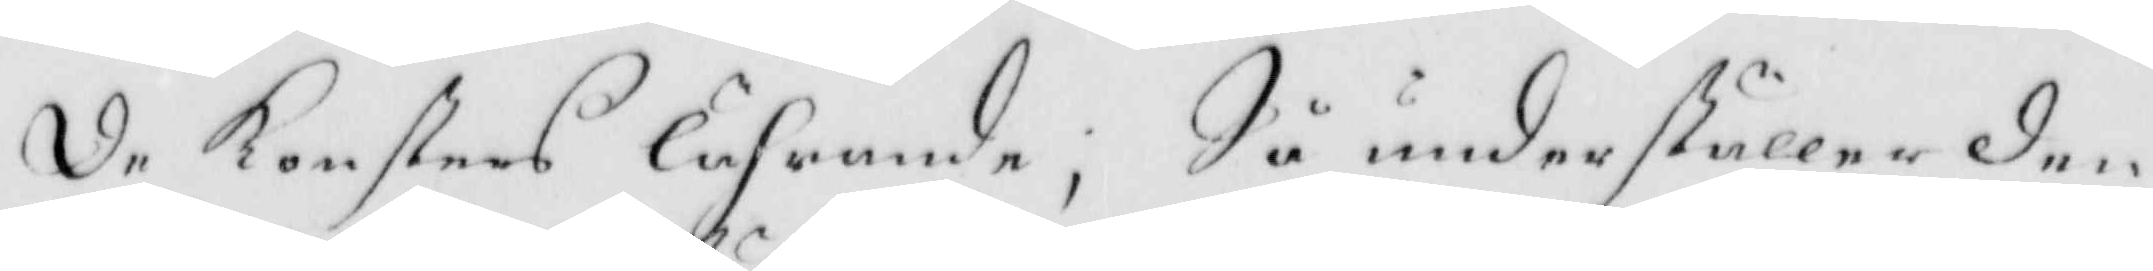de konsters lährande; Så underställer den
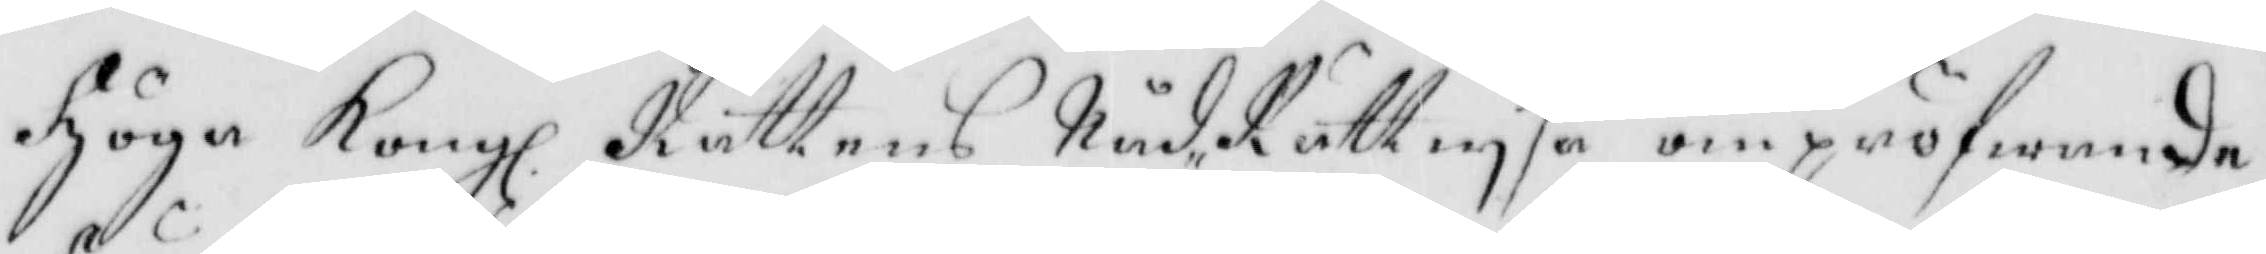Höga Kongl. Rättens Nåd- Rättwysa om pröfwande 
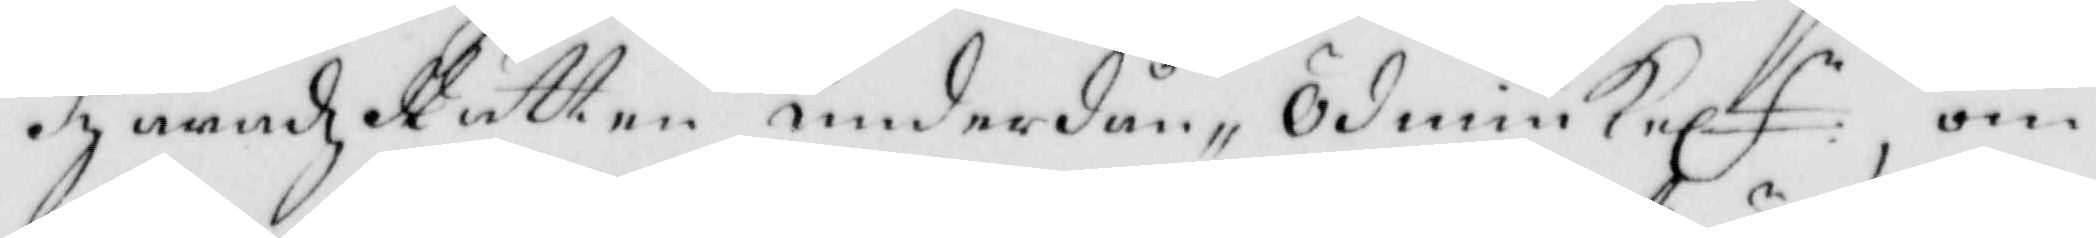Häradz Rätten underdån- Ödmiukele, om
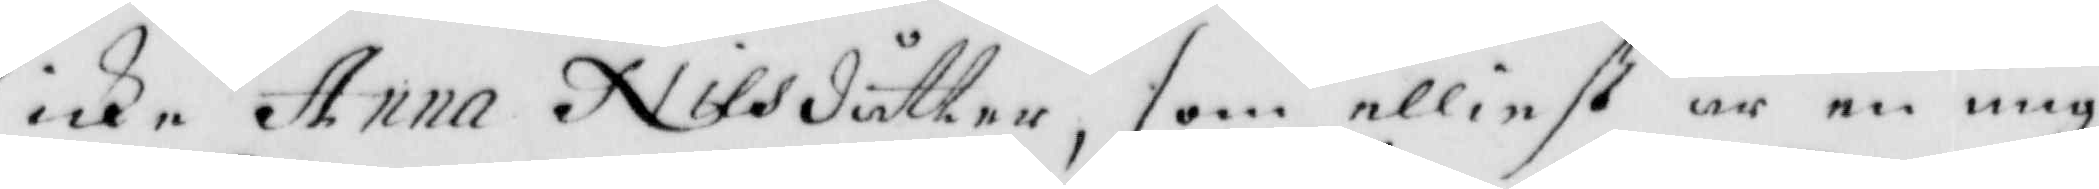icke Anna Nilsdotter, som elliest är en ung
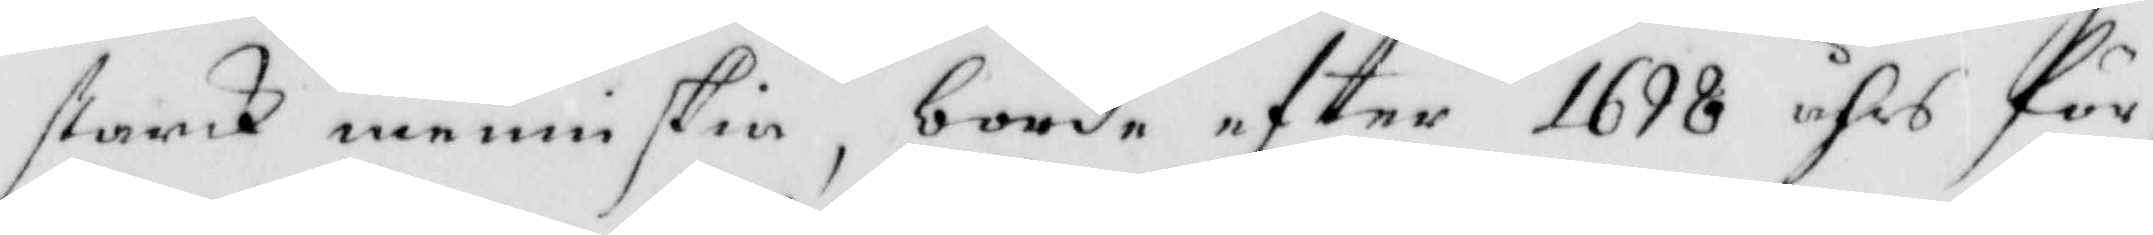starck menniskia, borde eftter 1698 åhrs för¬
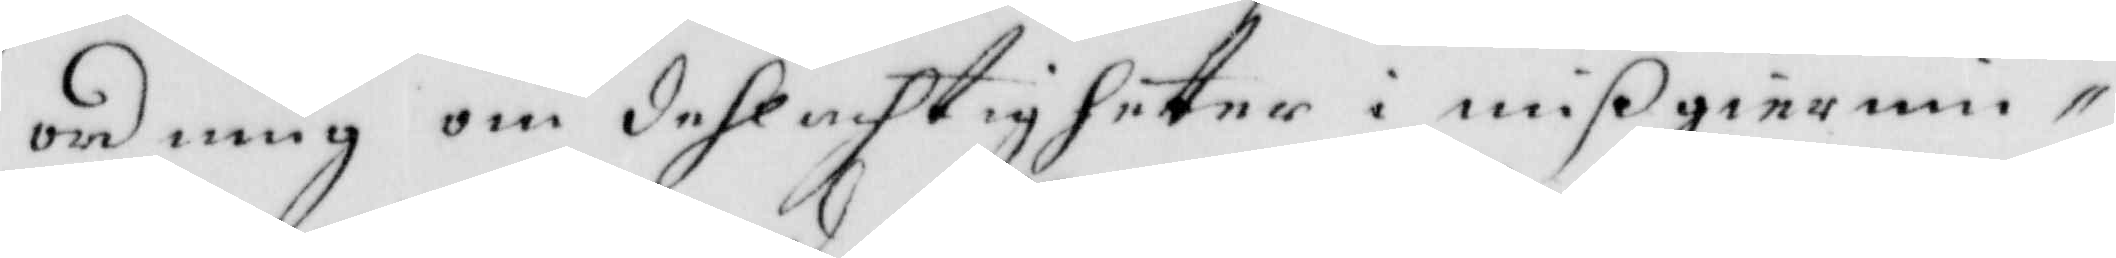ordning om dehlachtigheter i mißgiernin¬
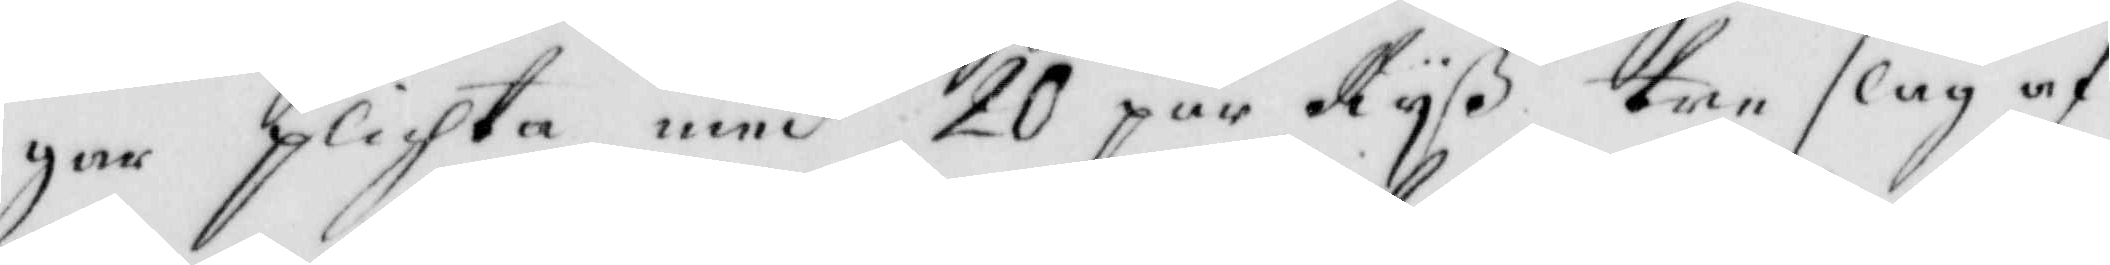gar plichta med 20 par Ryß tre slag af
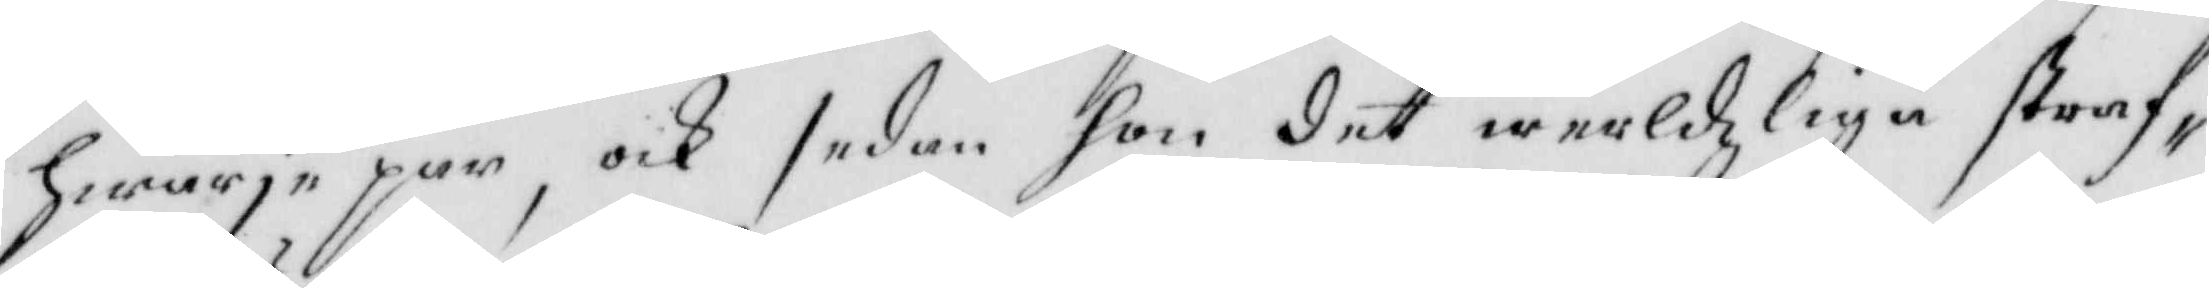hwarje par, och sedan hon det werldzlige straf¬
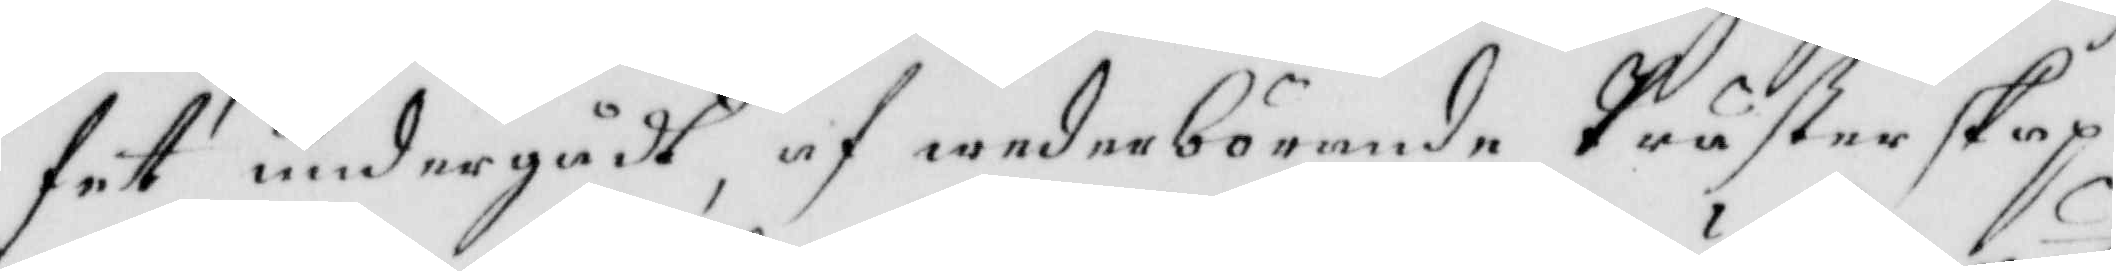fet undergådt, af wederbörande Prästerskap
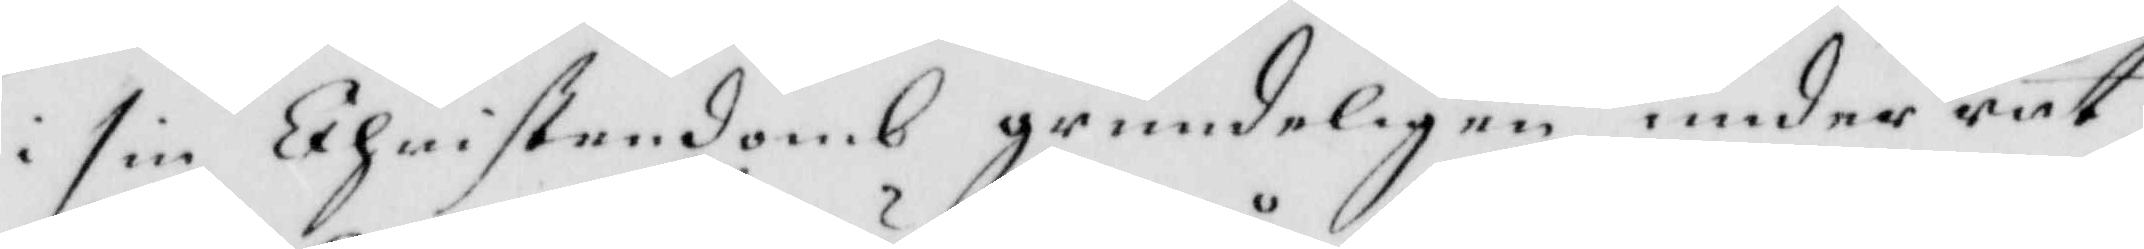i sin Christendomb grundeligen under rät¬
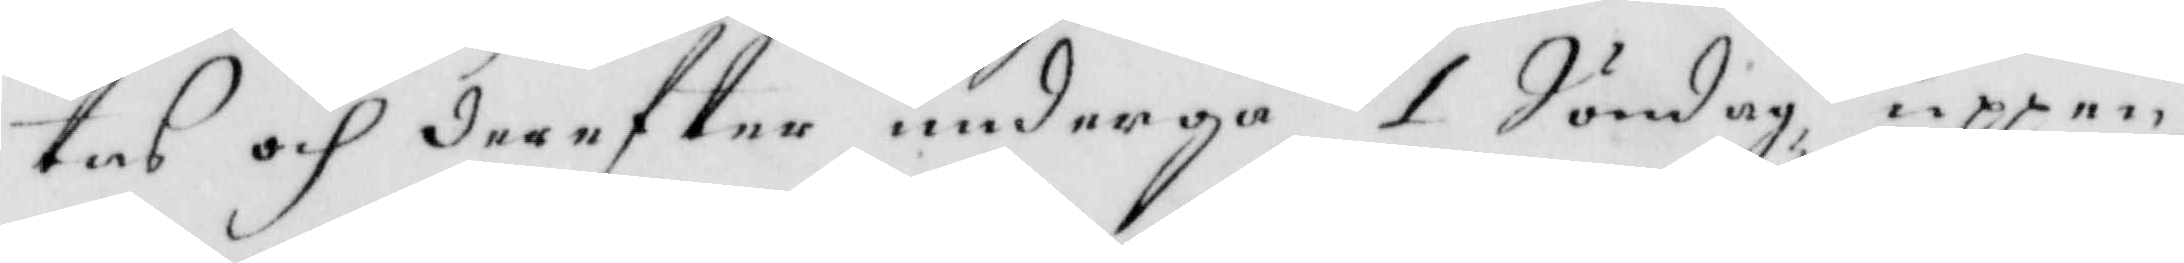tas och dereftter undergå 1 Söndag, uppen¬
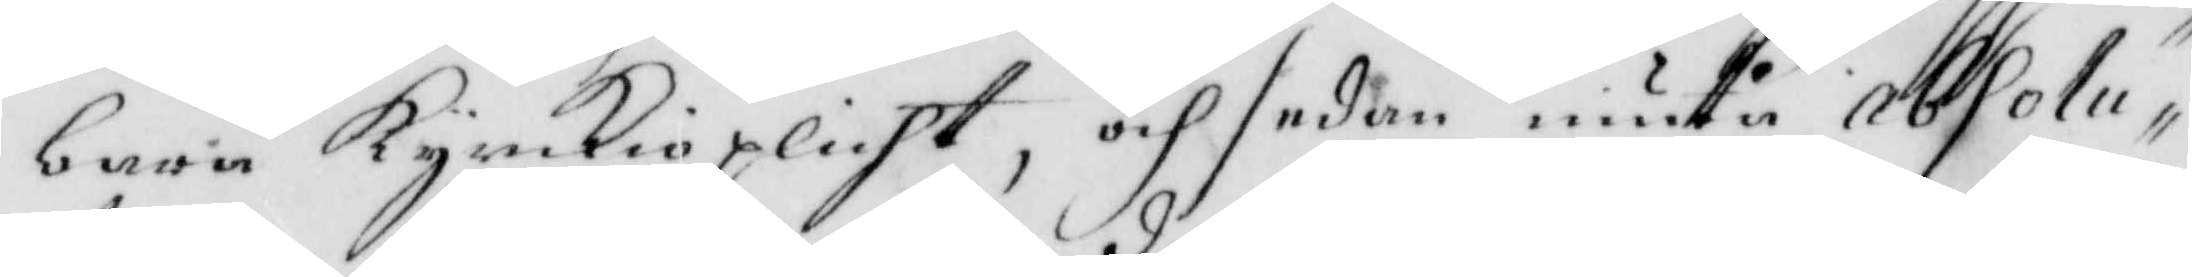barn kyrkioplicht, och sedan niuta absolu¬
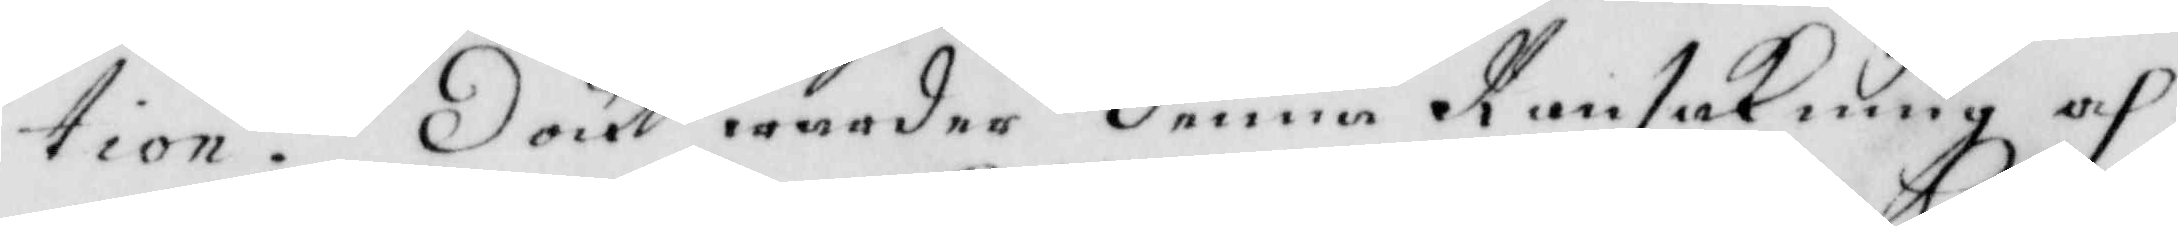tion. Doch warder denne Ransakning och
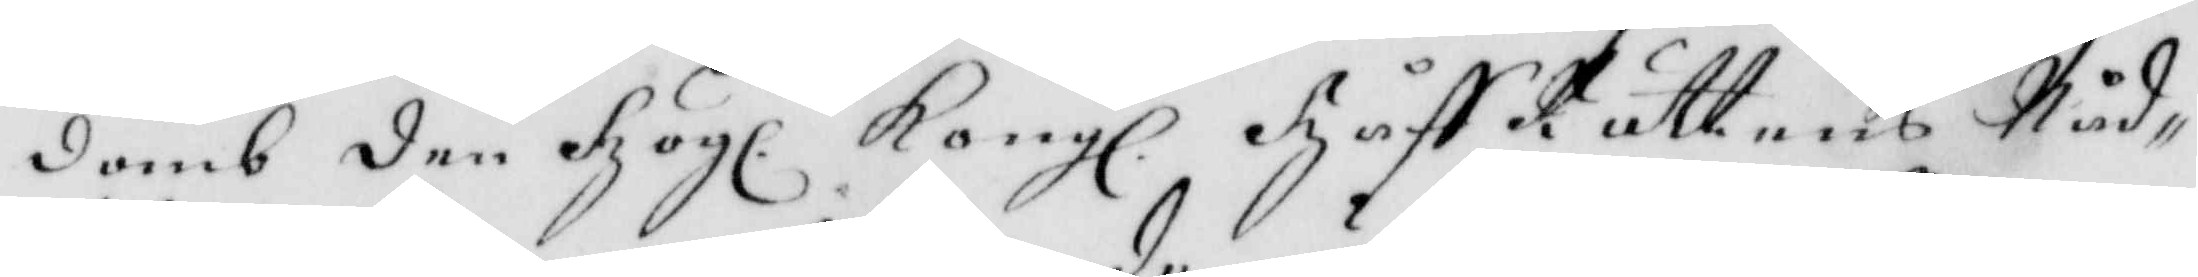domb den Högl. Kongl. HåffRättens Nåd¬ 
